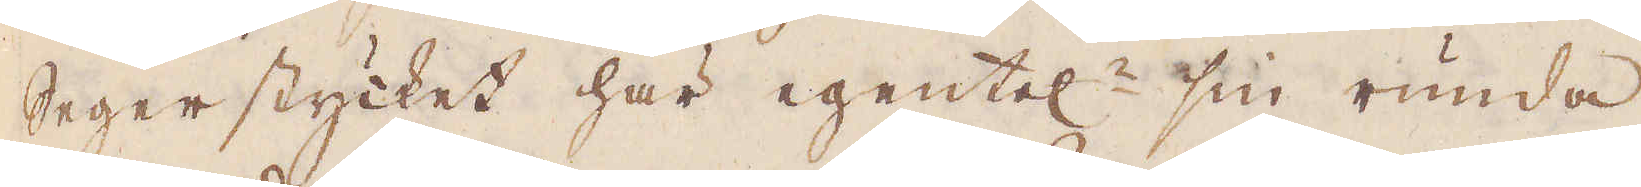Segerstycket här egentel:n sin runda
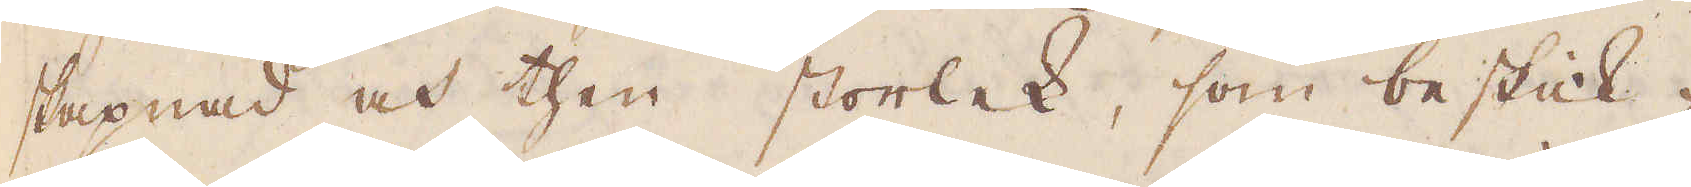skapnad och then storlek, som beskik-
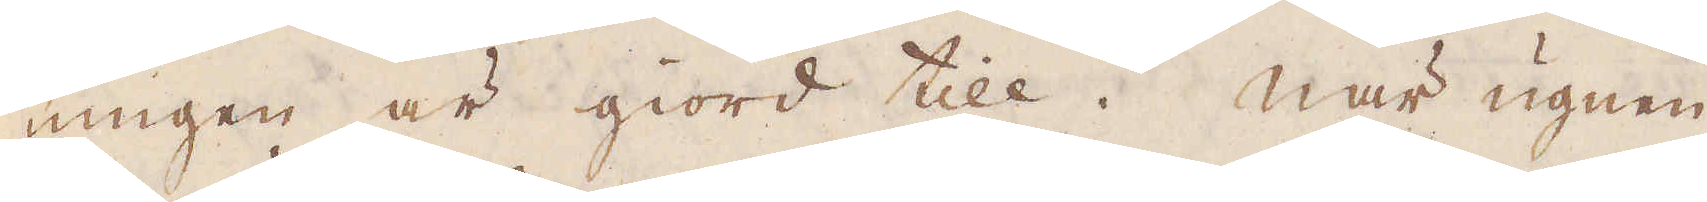ningen är giord till. När ugnen
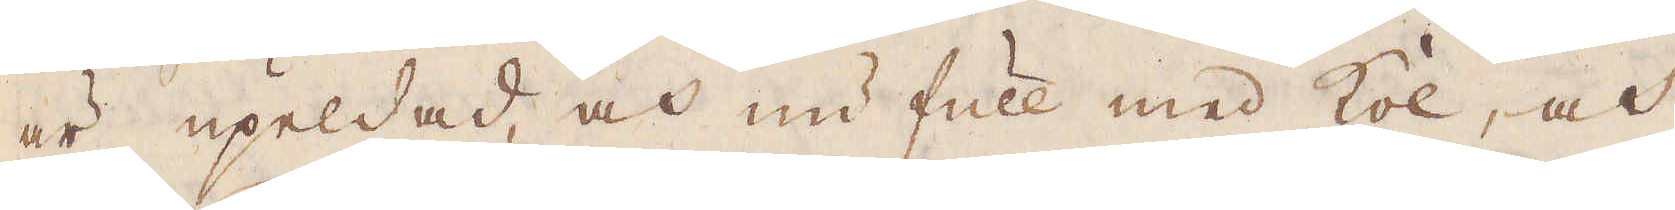är upeldad och nu full med kol, och
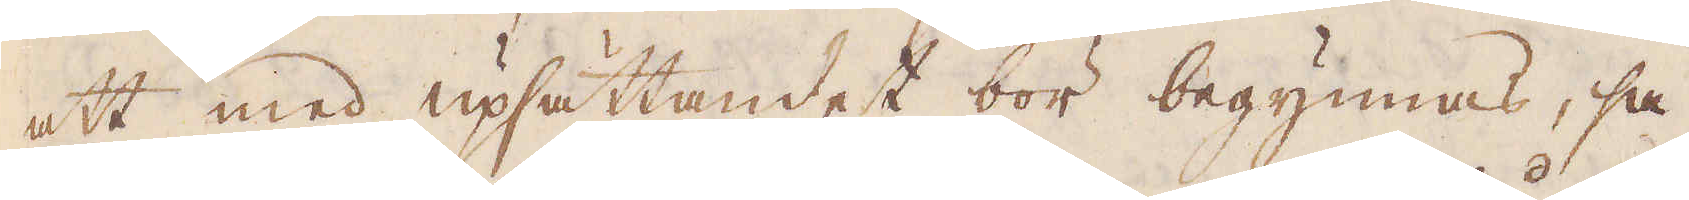att med upsättandet bör begynnas, så
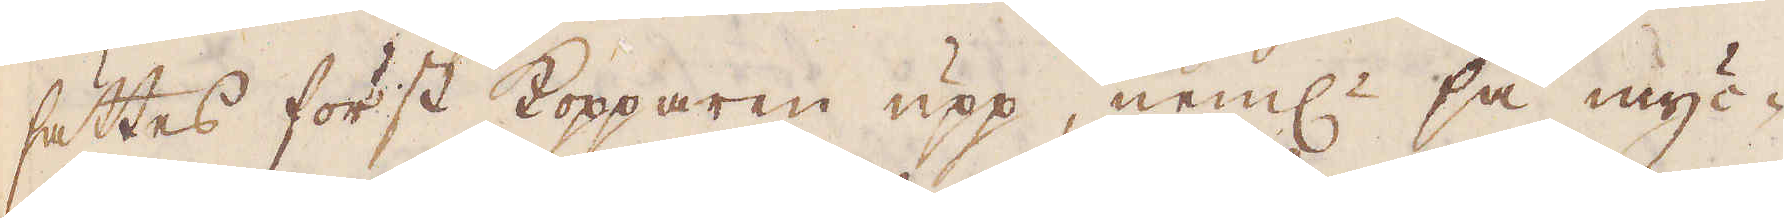sättes först Kopparen upp, neml:n så myc-
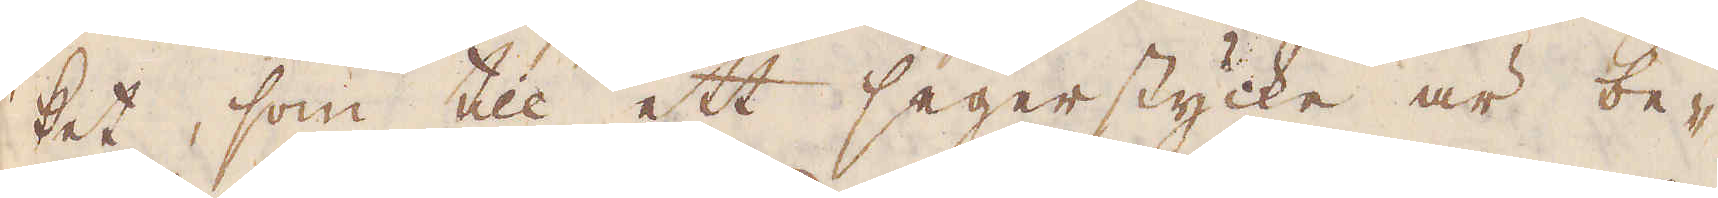ket, som till ett segerstycke är be-
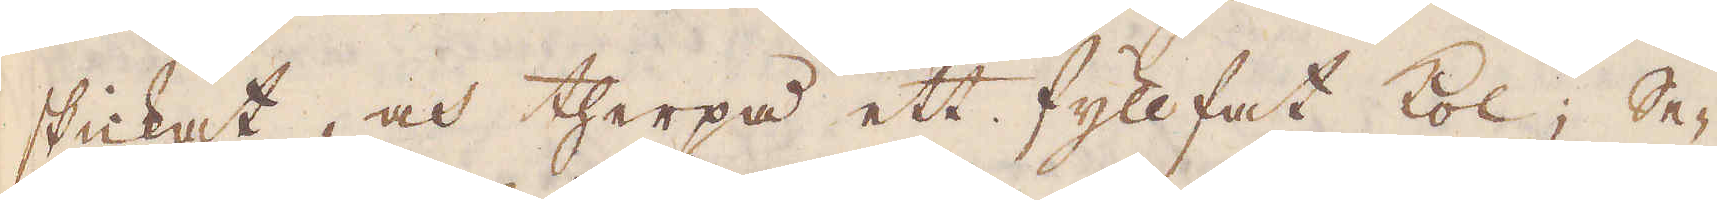skickat, och therpå ett fyllfatt kol; Se-
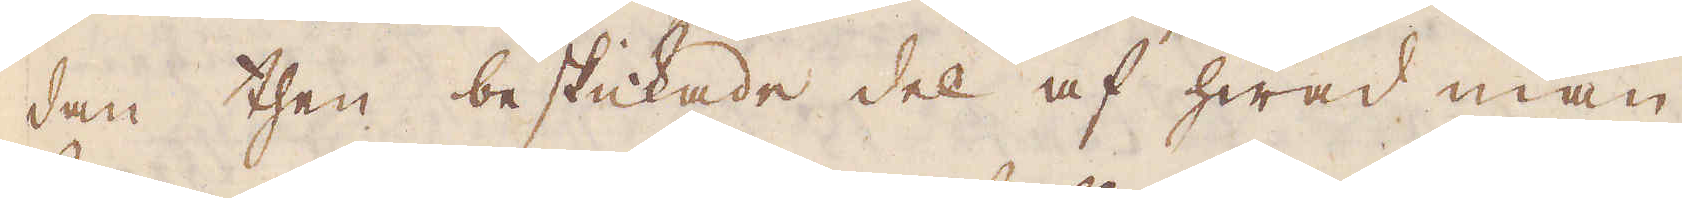dan then beskickade del af hwad man
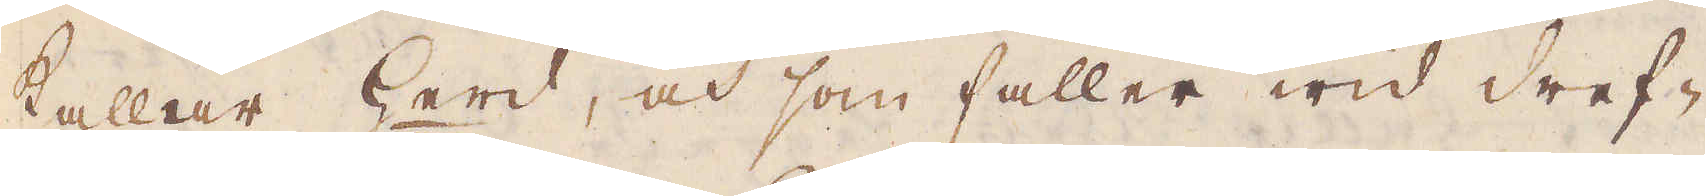kallar herd, och som faller wid dref-
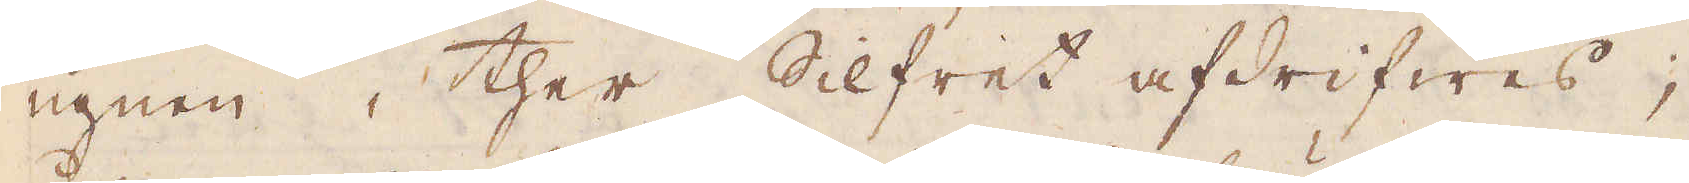ugnen, ther Silfret afdrifwes;
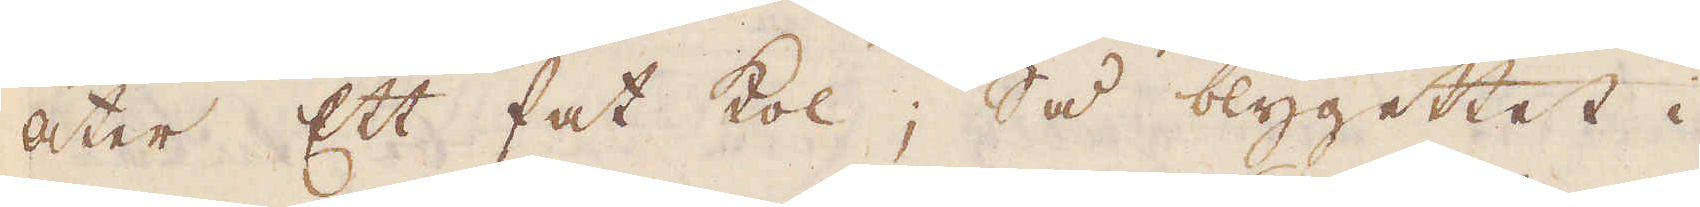åter Ett fat kol; Så blygettet i
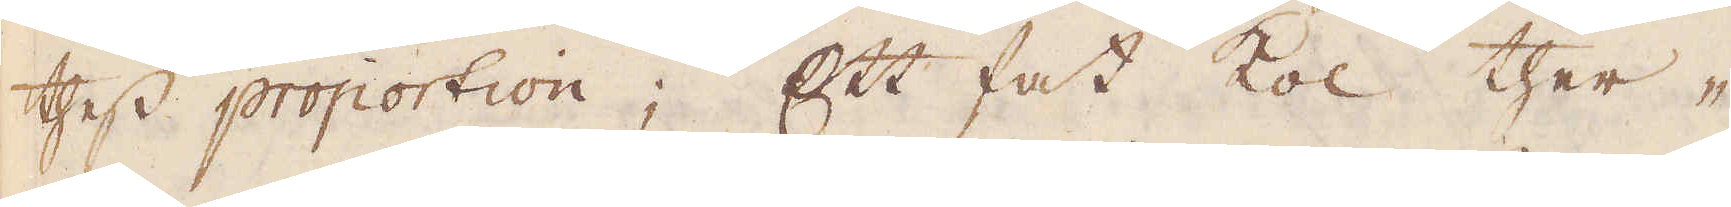thess proportion; Ett fat kol ther-
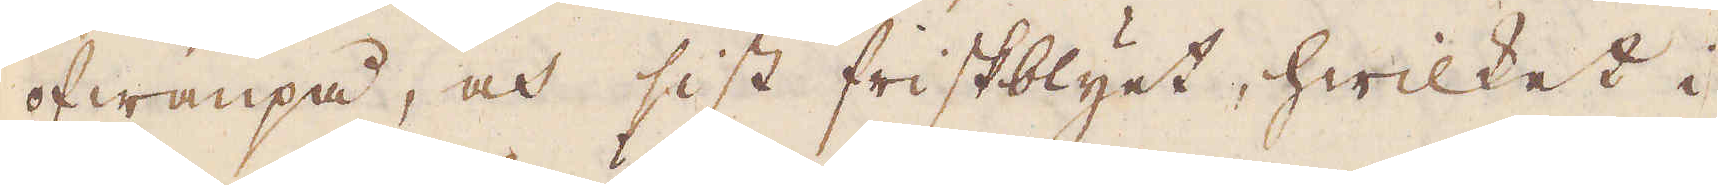ofwanpå, och sist friskblyet, hwilket i
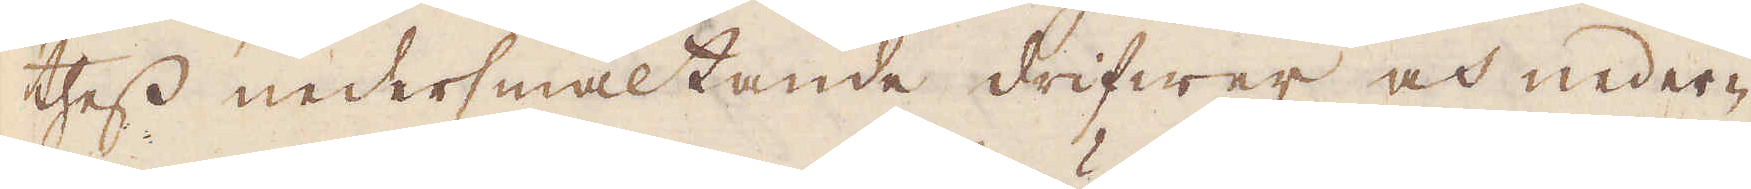thess nedersmältande drifwer och neder-
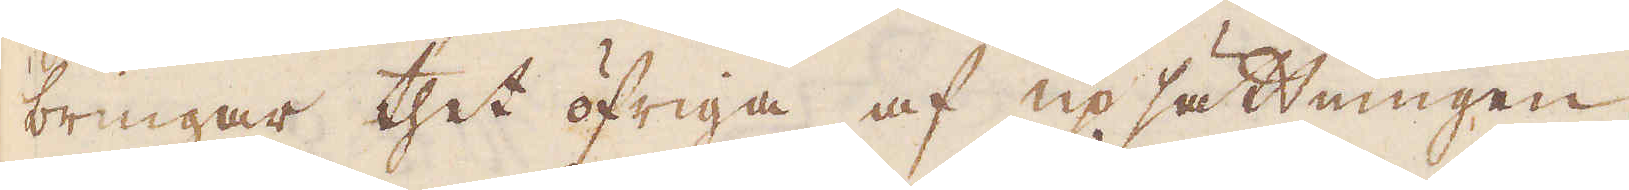bringar thet öfriga af upsättningen
